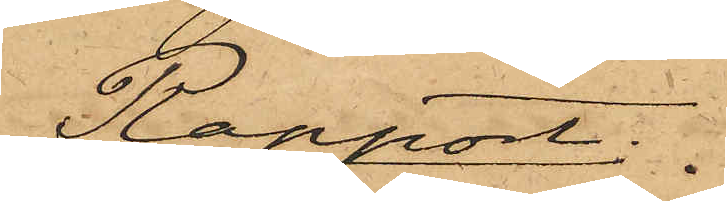Rapport.
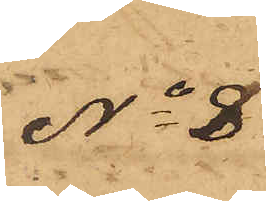No 8
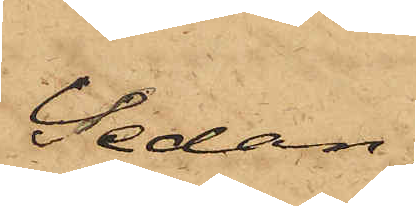Sedan
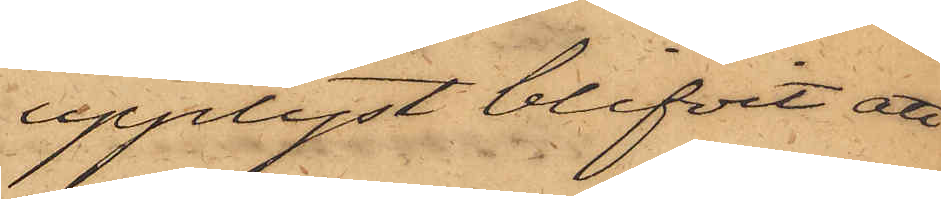upplyst blifvit att
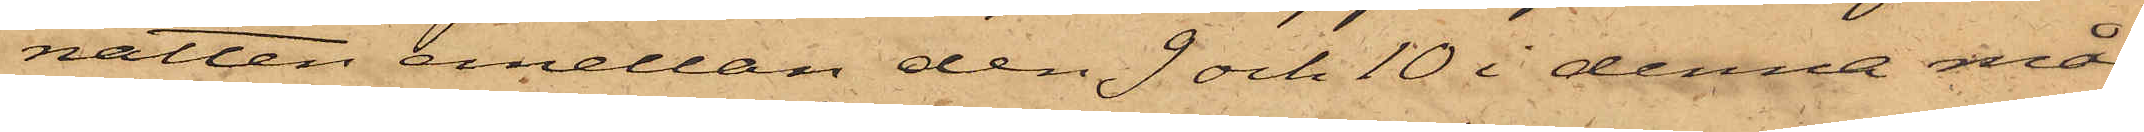natten emellan den 9 och 10 i denna må¬
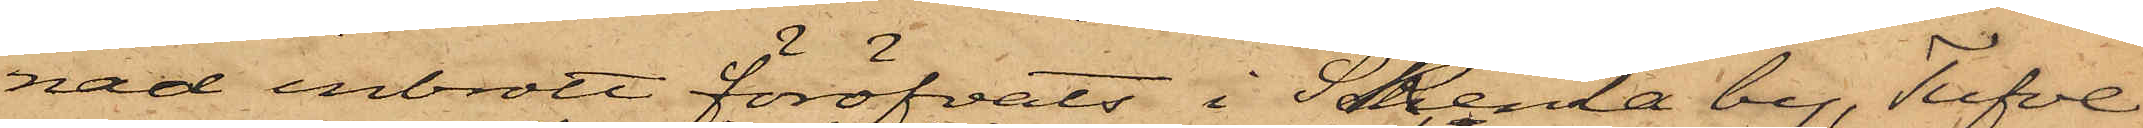nad inbrott föröfvats i Skenla by, Tufve
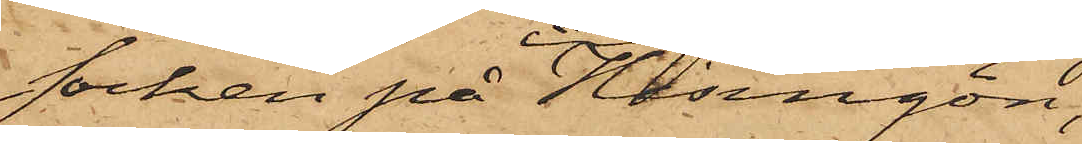socken på Hisingön,
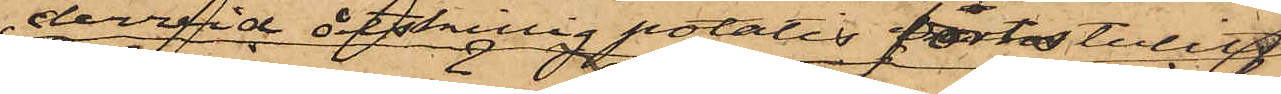dervid åtskillig potatis bortstulits,
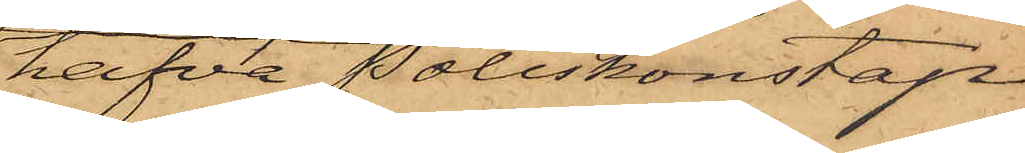hafva Poliskonstap¬
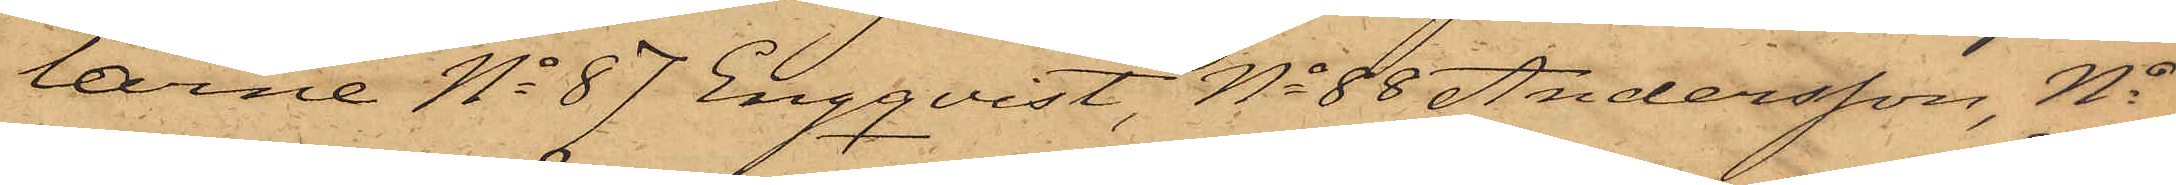larne No 87 Engqvist, No 88 Andersson, No
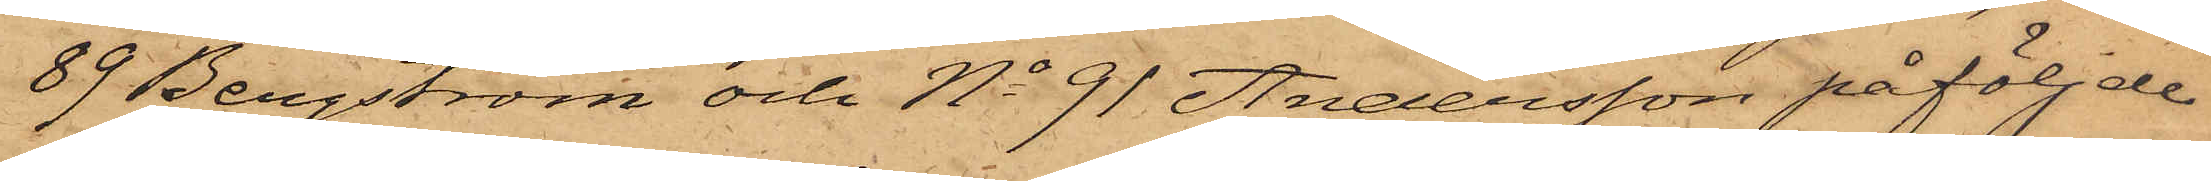89 Bergström och No 91 Andersson påföljde
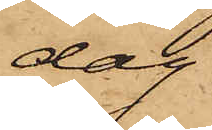dag
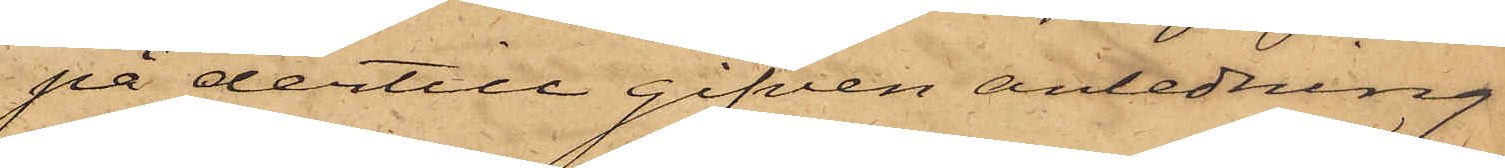på dertill gifven anledning
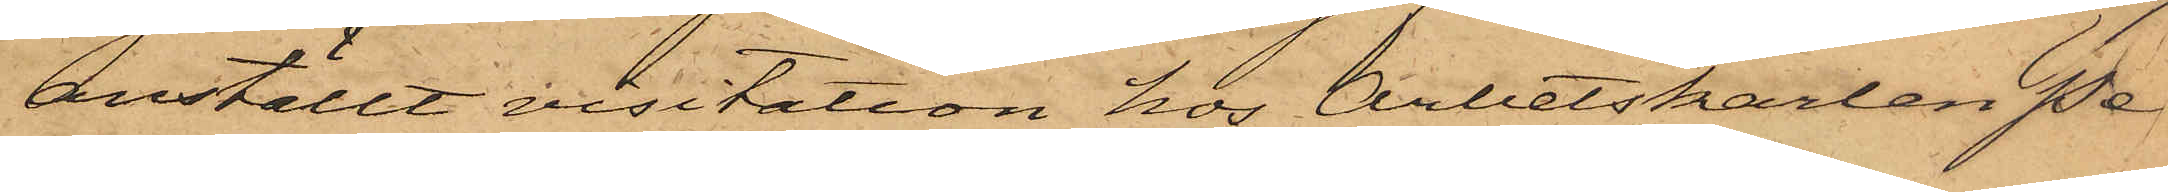anställt visitation hos Arbetskarlen Pe¬
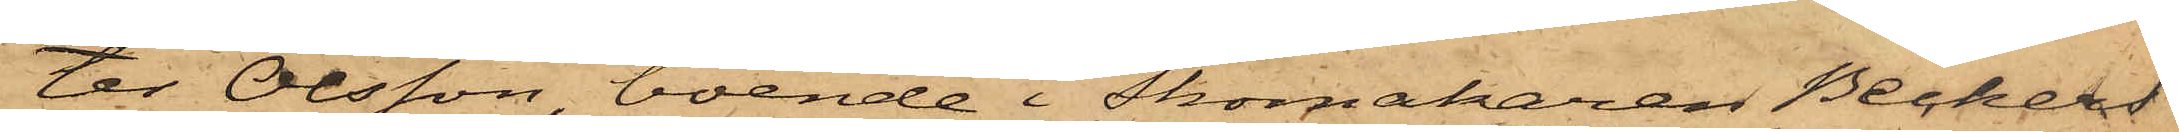ter Olsson, boende i Skomakaren Beckers
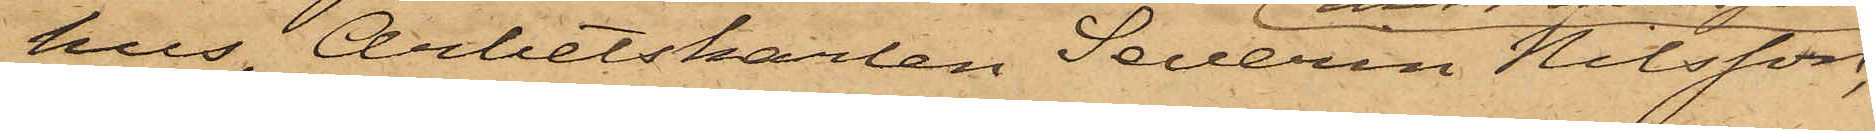hus, Arbetskarlen Severin Nilsson,
